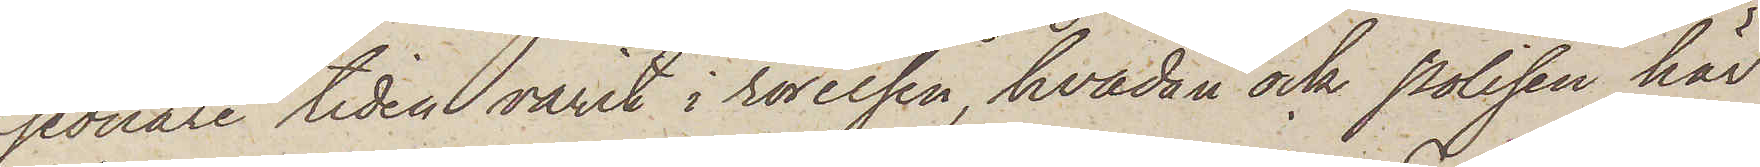sednare tiden varit i rörelsen, hvadan ock polisen här
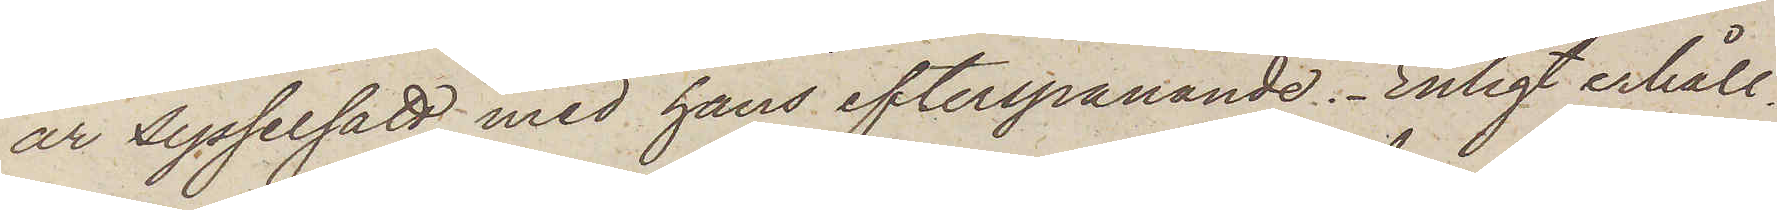är sysselsatt med hans efterspanande. Enligt erhåll¬
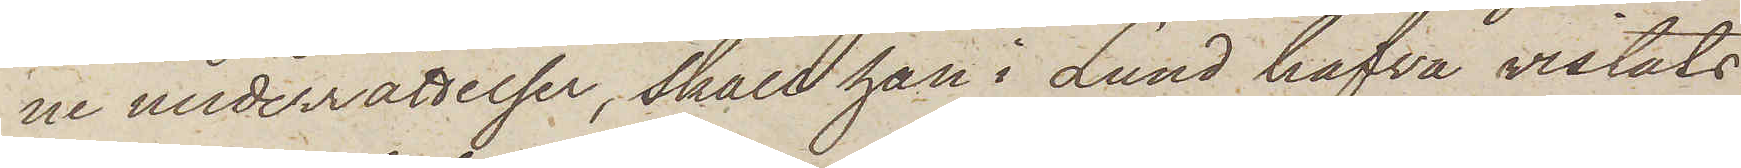ne underrättelser, skall han i Lund hafva vistats
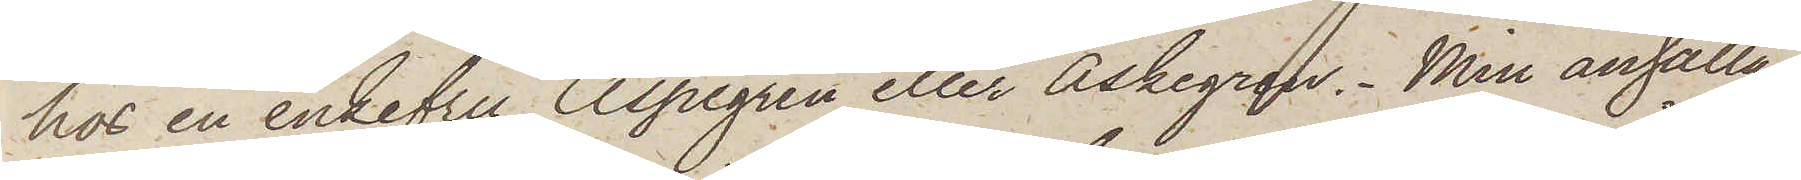hos en enkefru Aspegren eller Askegren. Min anhållan
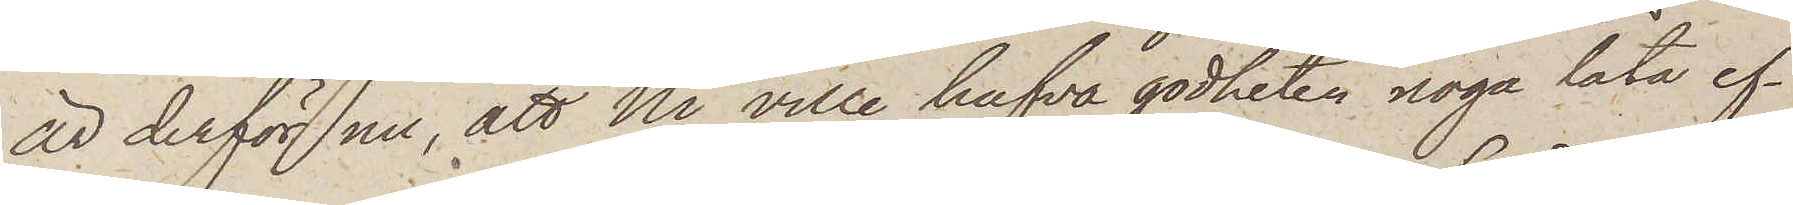är derför nu, att Ni ville hafva godheten noga låta ef¬
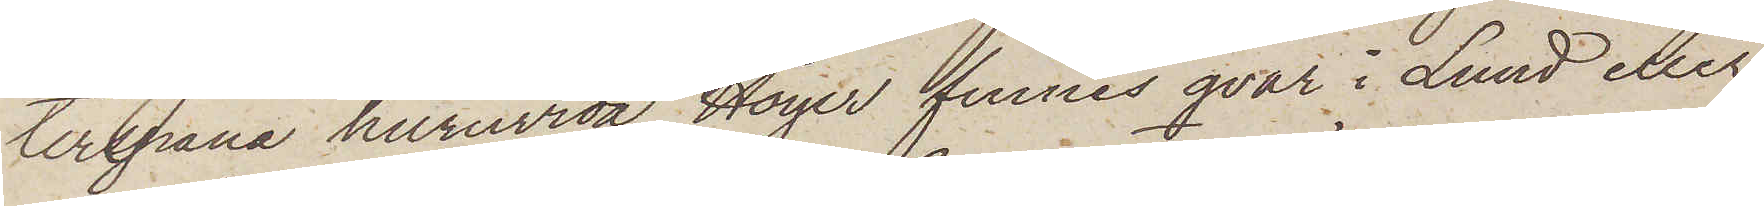terspana huruvida Höyer finnes qvar i Lund eller
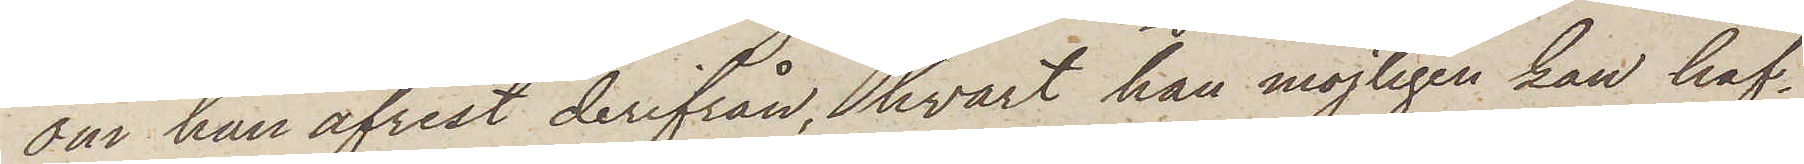om han afrest derifrån, hvart han möjligen kan haf¬
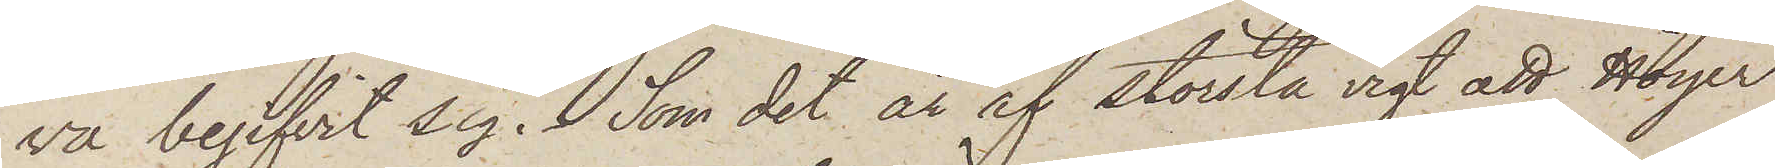va begifvit sig. Som det är af största vigt att Höyer
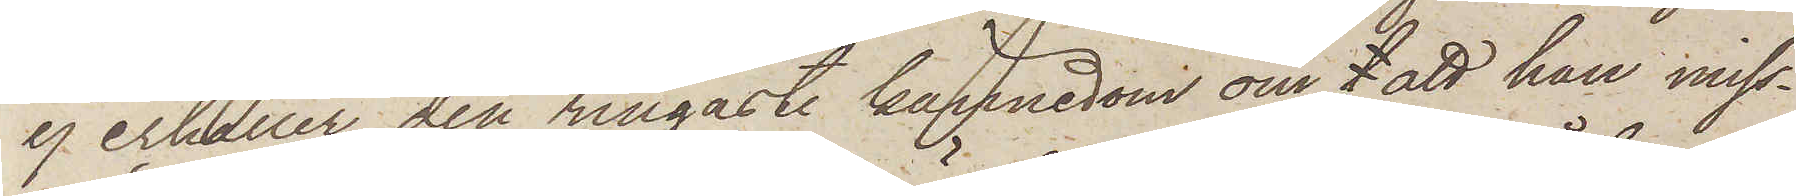ej erhåller den ringaste kännedom om l att han miss¬
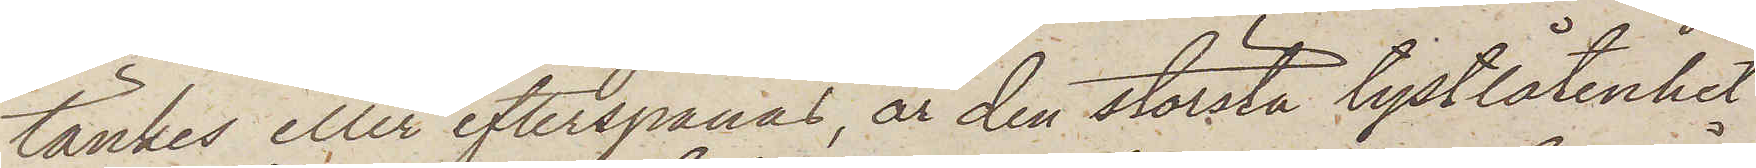tänkes eller efterspanas, är den största tystlåtenhet
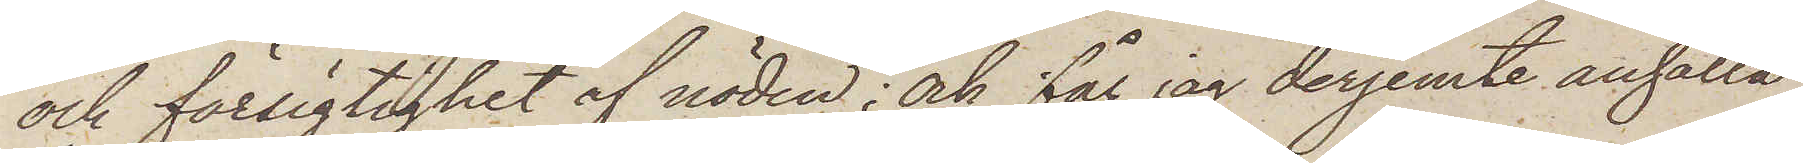och försigtighet af nöden; och får jag derjemte anhålla
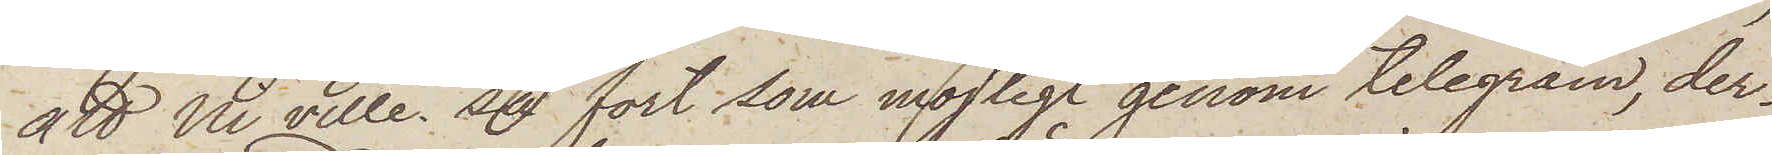att Ni ville så fort som möjligt genom telegram, der¬
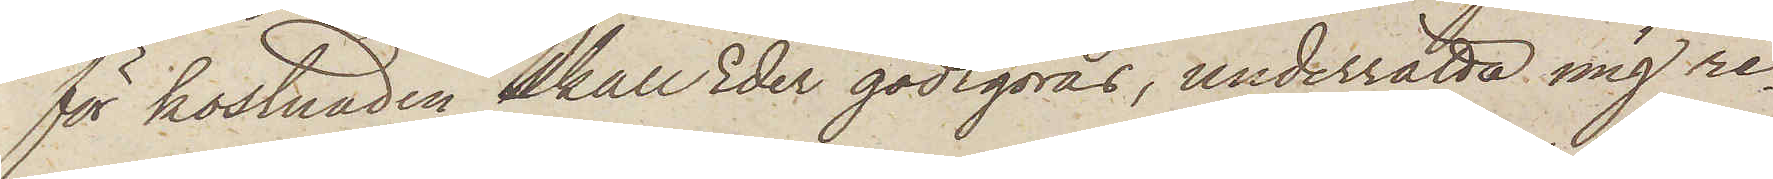för kostnaden skall Eder gottgöras, underrätta mig re¬
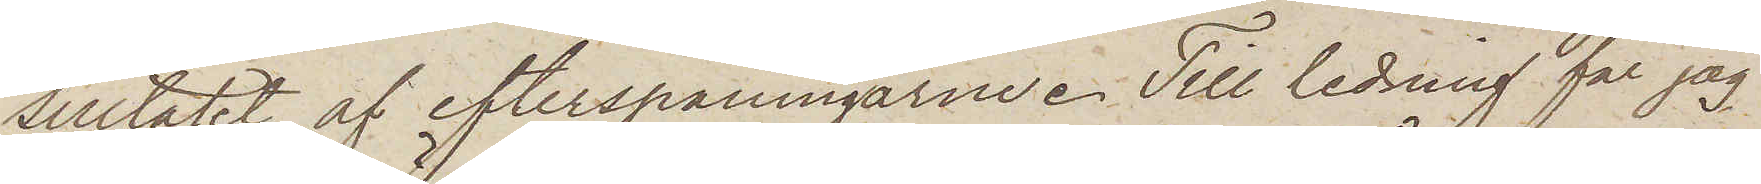sultatet af efterspaningarne. Till ledning får jag
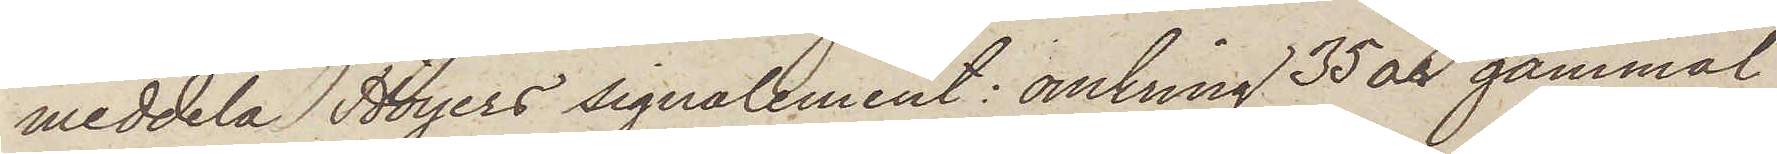meddela Höyers signalement: omkring 35 år gammal,
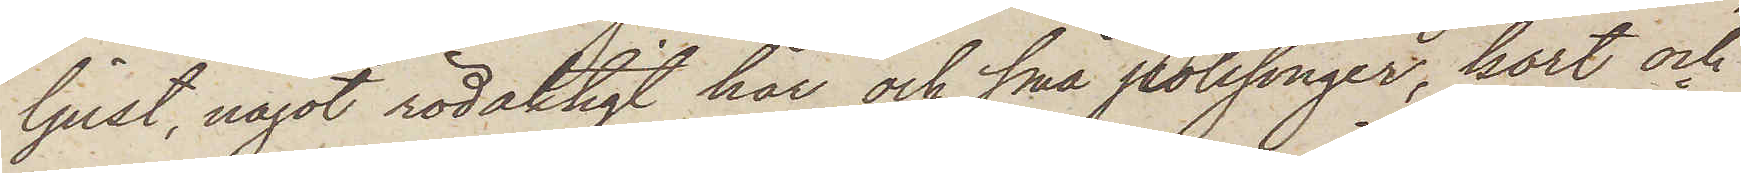ljust, något rödaktigt hår och små polisonger, kort och
